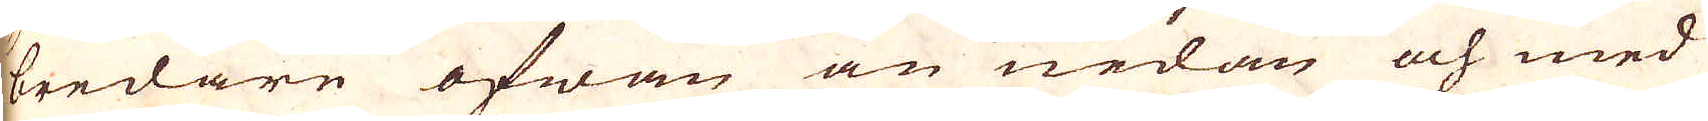bredare ofwan än nedan och med
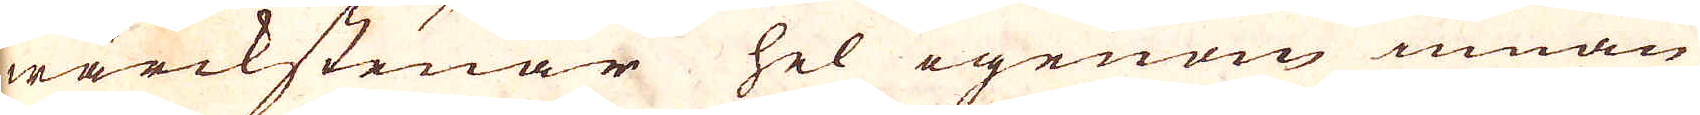wärckstenar hel igenom innan
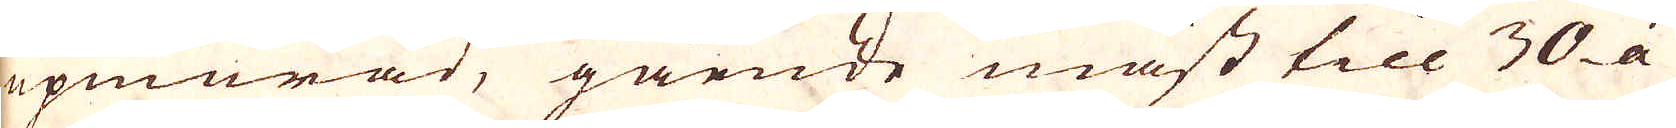upmurad, gående måst till 30 á
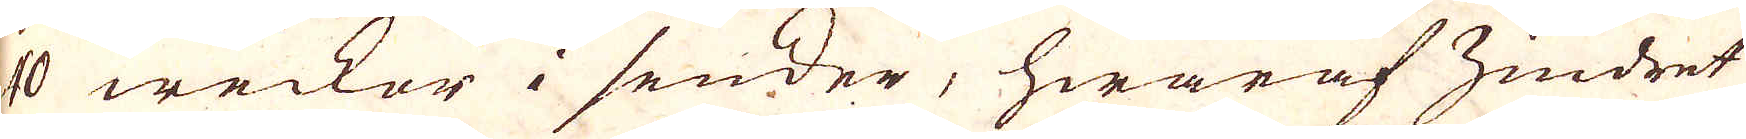40 weckor i sender, hwaraf zindret
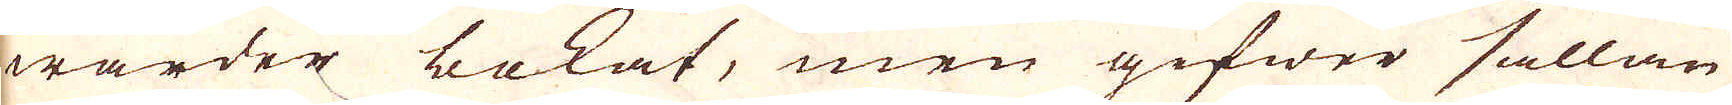warder bokat, men gifwer sällan
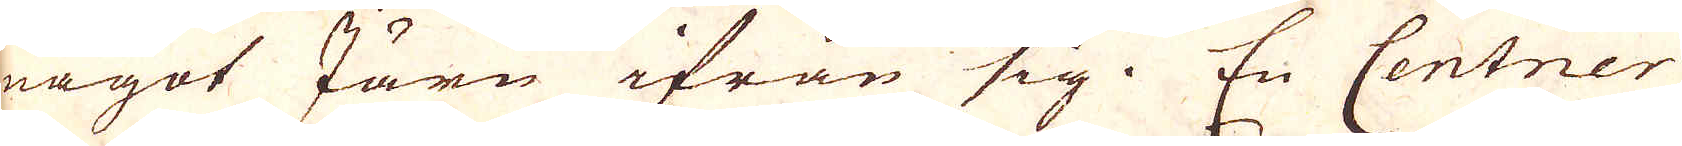något Järn ifrån sig. En Centner
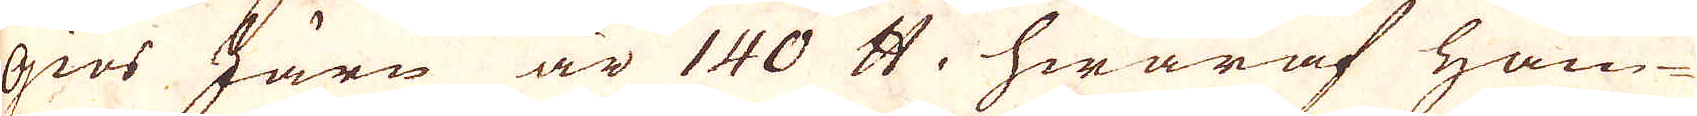giös Järn är 140 skålpund, hwaraf ham
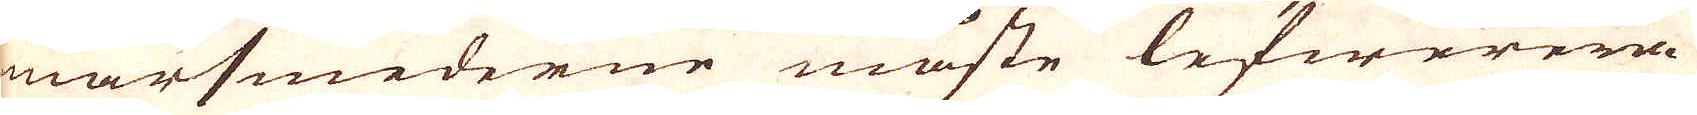marsmederne måste lefwerera
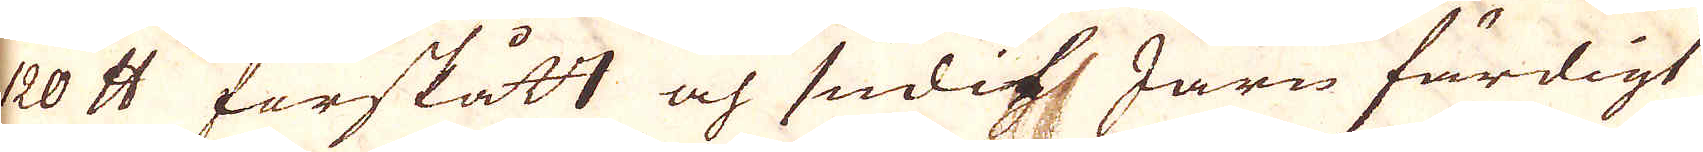420 skålpund förskått och sudit Järn färdigt
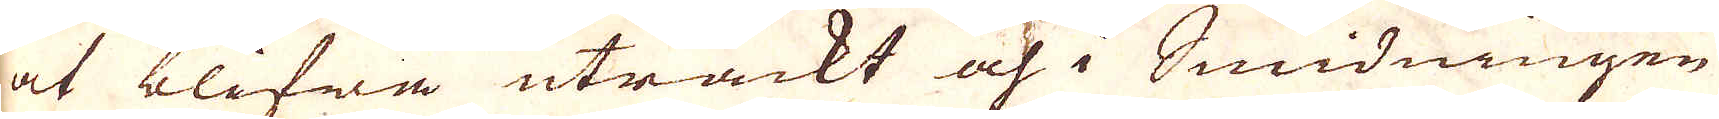at blifwa uträckt och i Smidningen
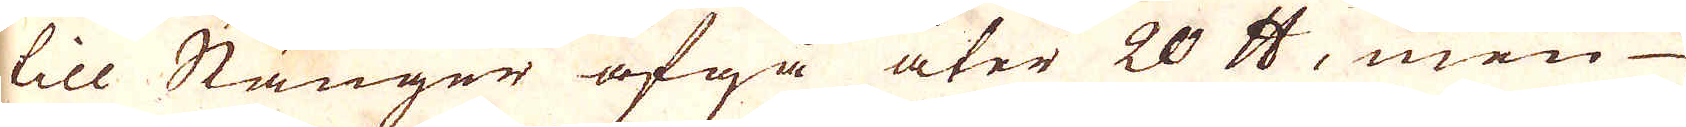till Stänger afgå åter 20 skålpund, men
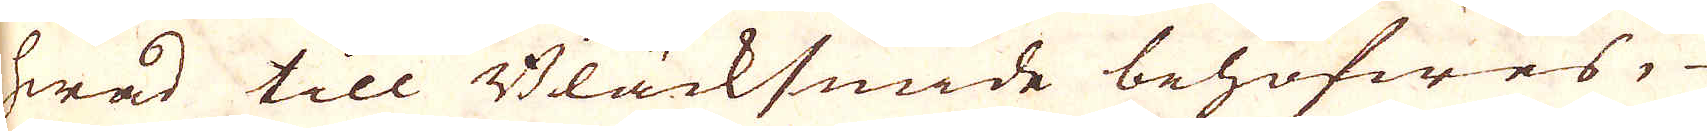hwad till Bläcksmide behöfwes,
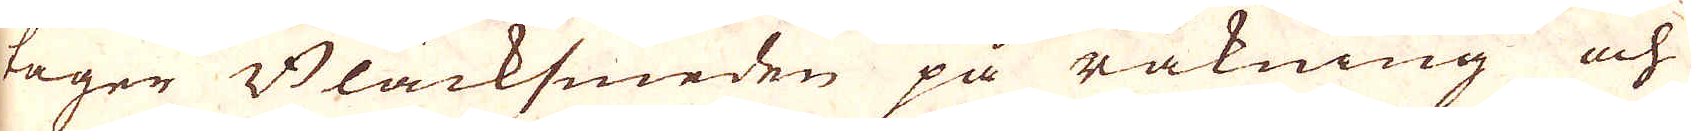tager Bläcksmeden på räkning och
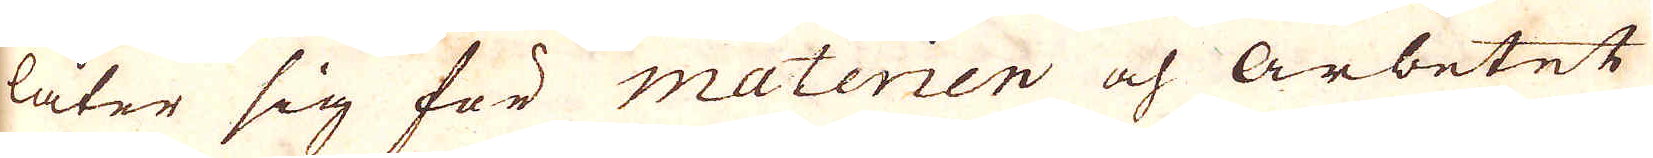låter sig för materien och arbetet
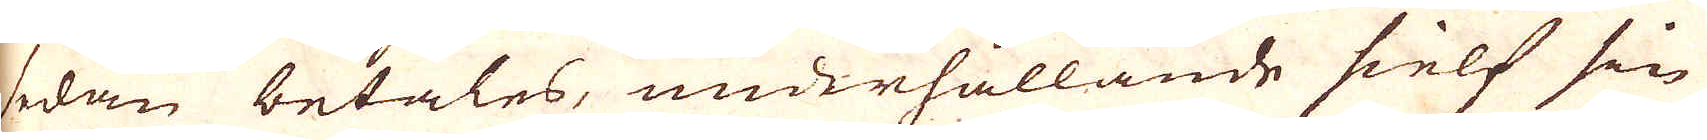sedan betales, underhållande sielf sin
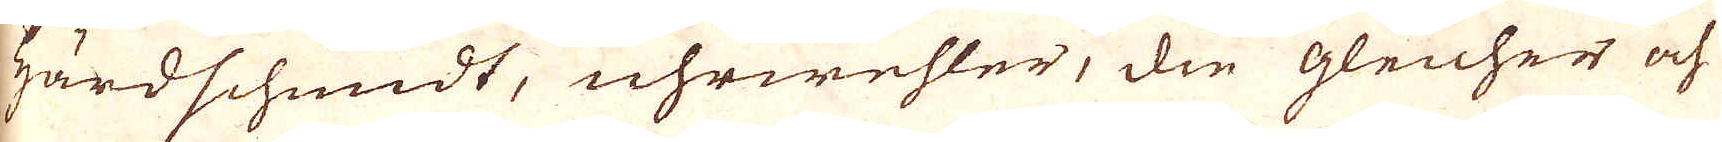Härdschmidt, uhrwehler, die gleicher och
